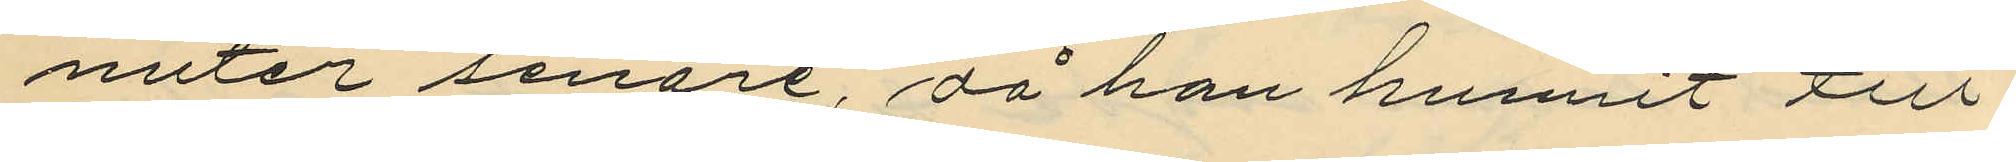nuter senare, då han hunnit till
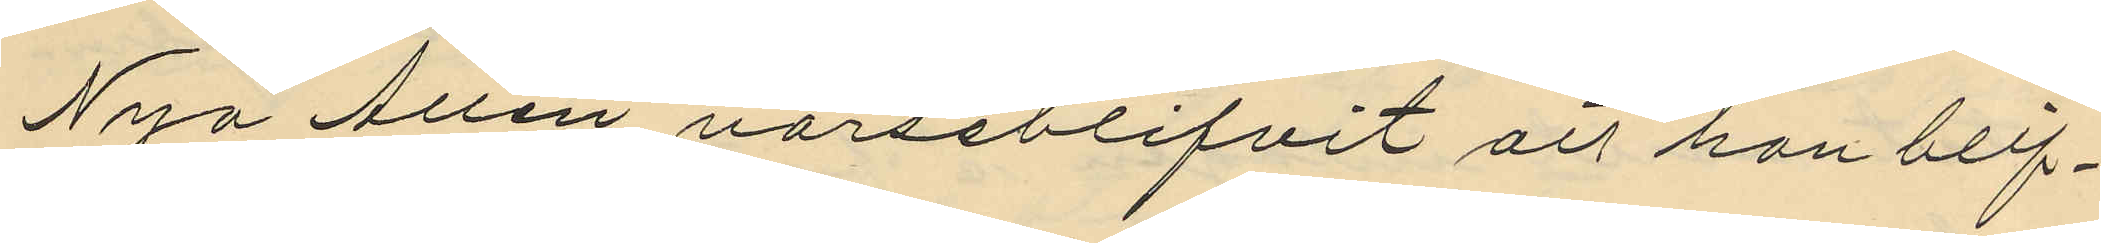Nya Allen varseblifvit att han blif¬
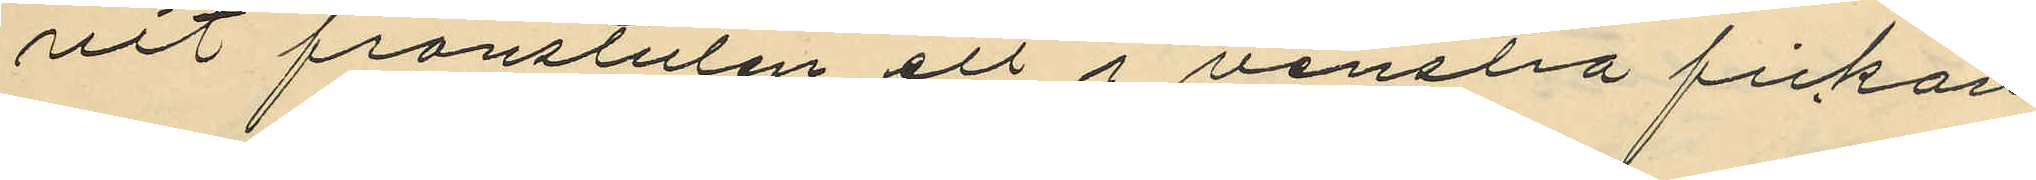vit frånstulen ett i venstra fickan
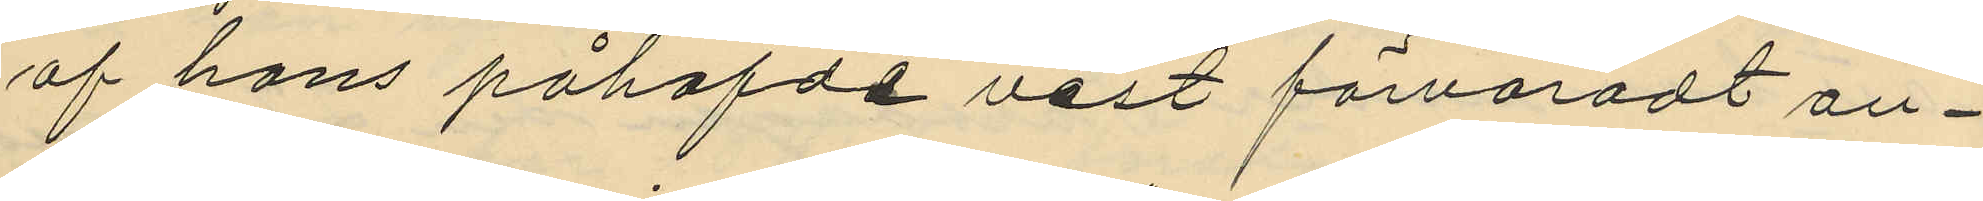af hans påhafde väst förvaradt an¬
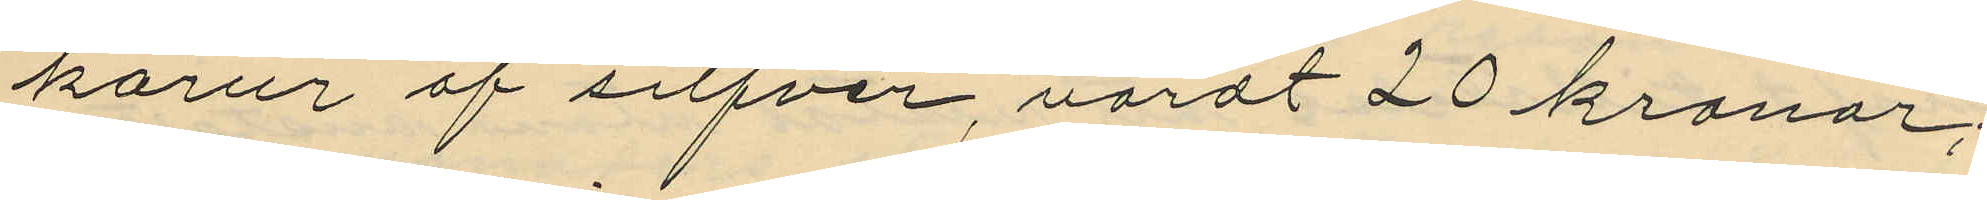karur af silfver, värdt 20 kronor;
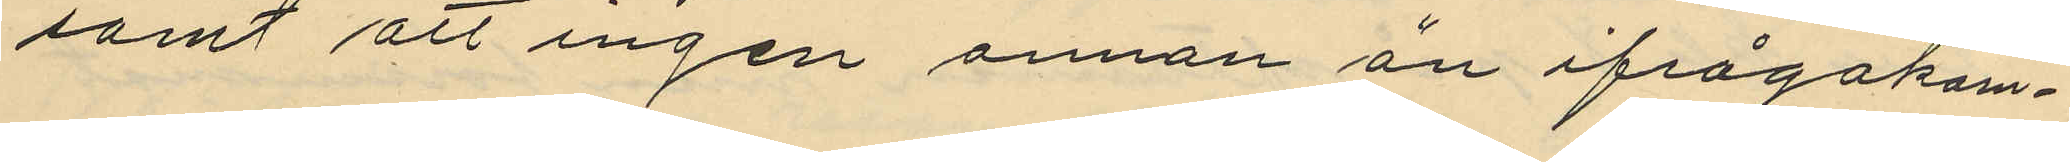samt att ingen annan än ifrågakom¬
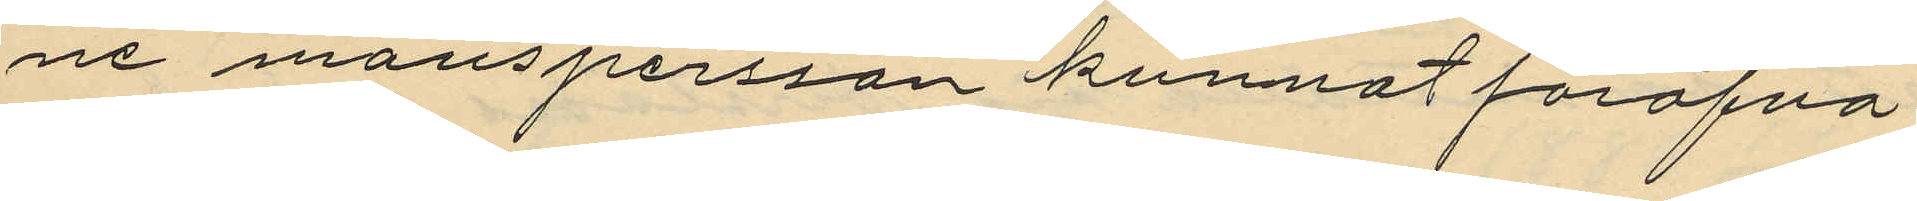ne manspersson kunnat föröfva
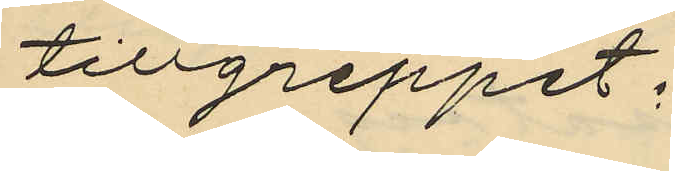tillgreppet;
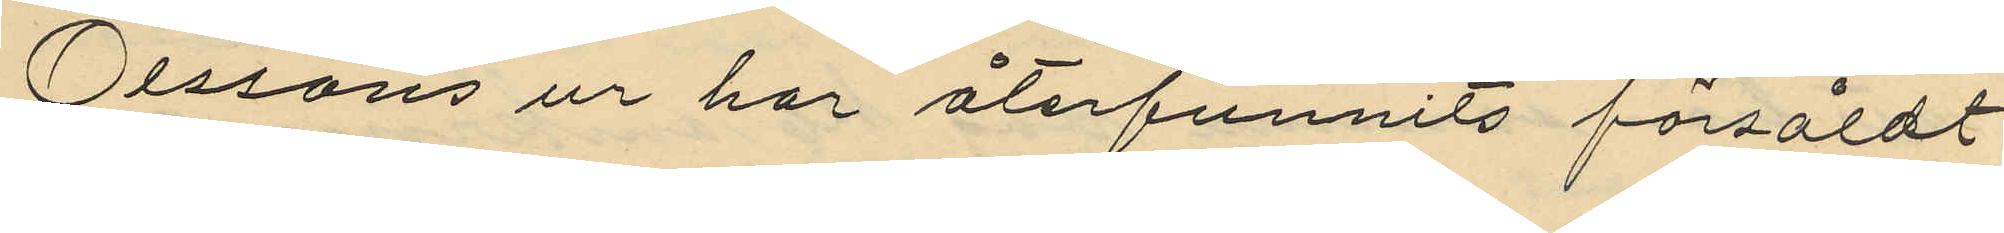Olssons ur har återfunnits försåldt
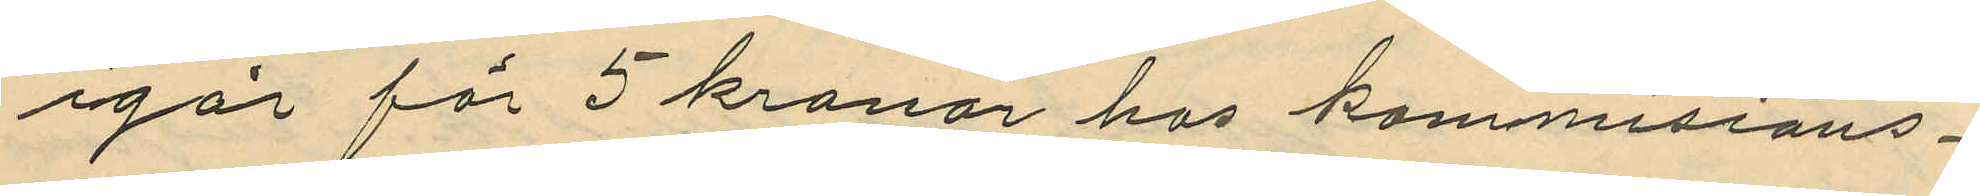igår för 5 kronor hos kommisions¬
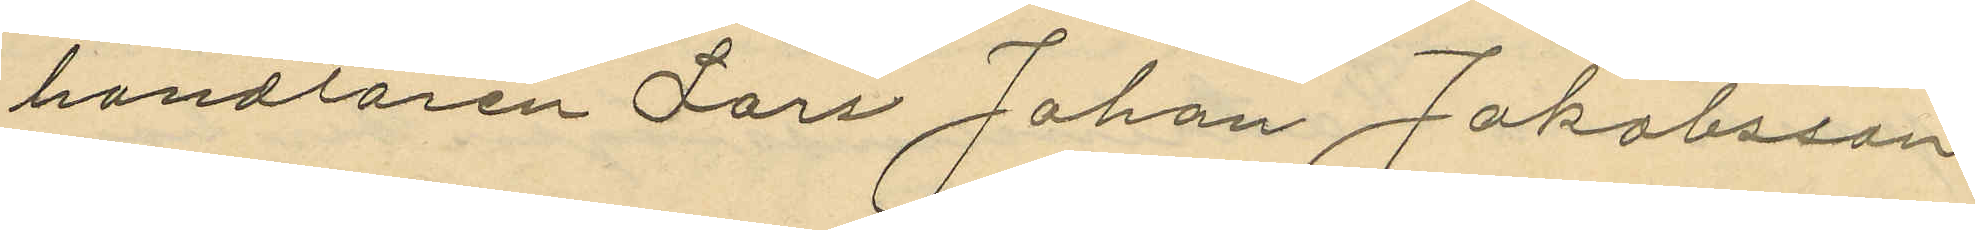handlaren Lars Johan Jakobsson
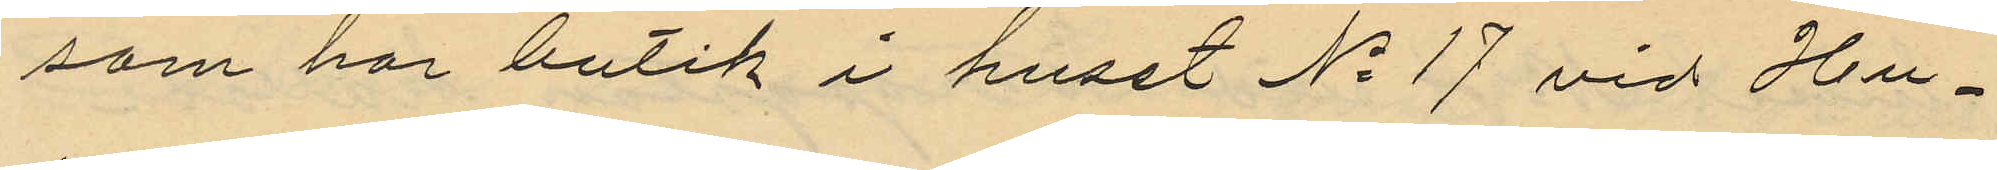som har butik i huset No 17 vid Hu¬
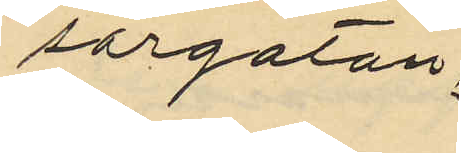sargatan.
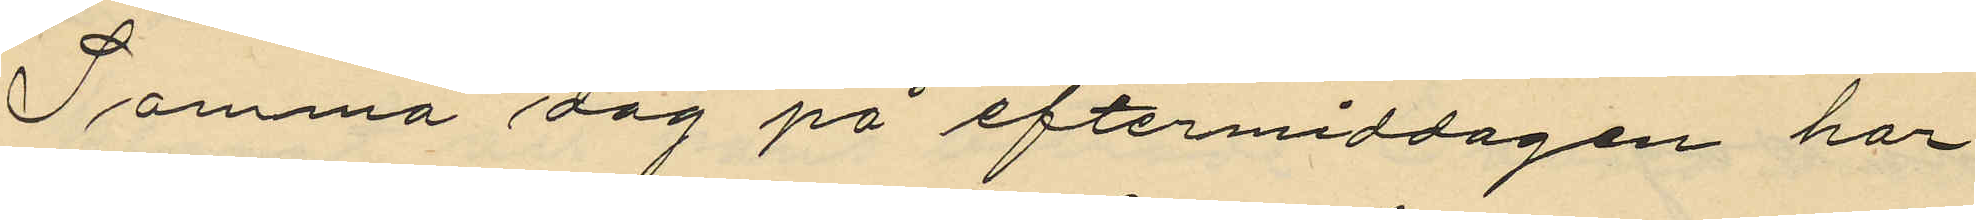Samma dag på eftermiddagen har
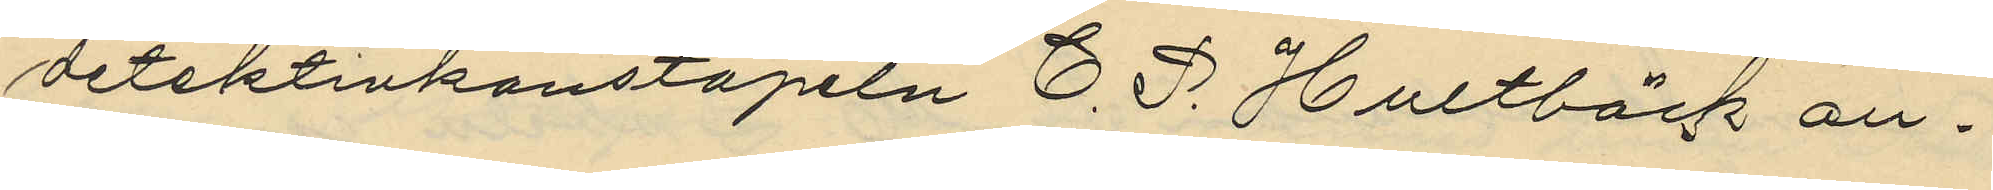detektivkonstapeln C. P. Hultbäck an¬
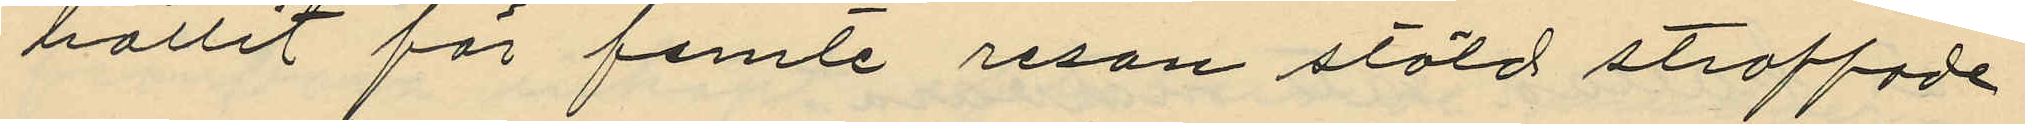hållit för femte resan stöld straffade
